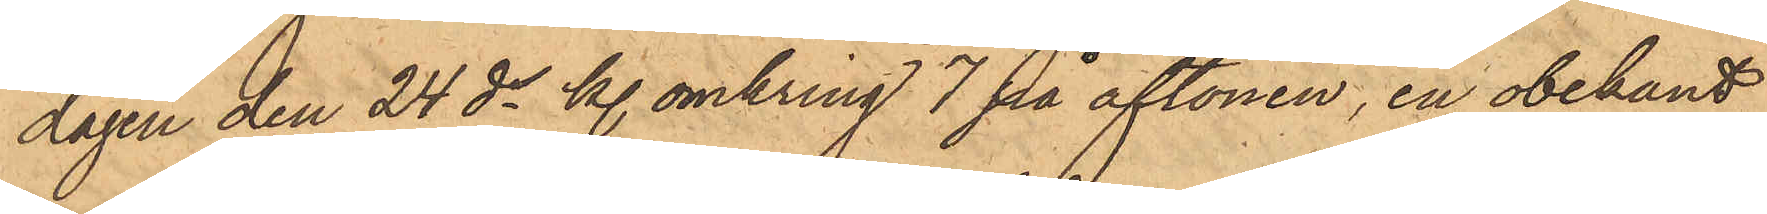dagen den 24 ds kl. omkring 7 på aftonen, en obekant
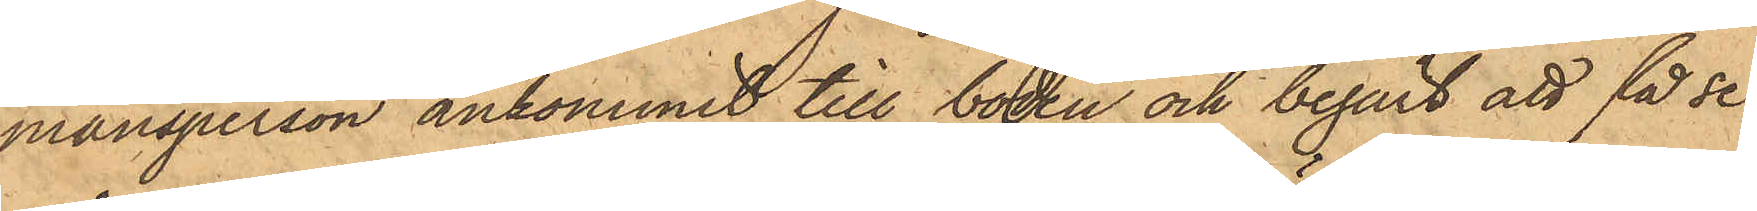mansperson ankommit till boden och begärt att få se
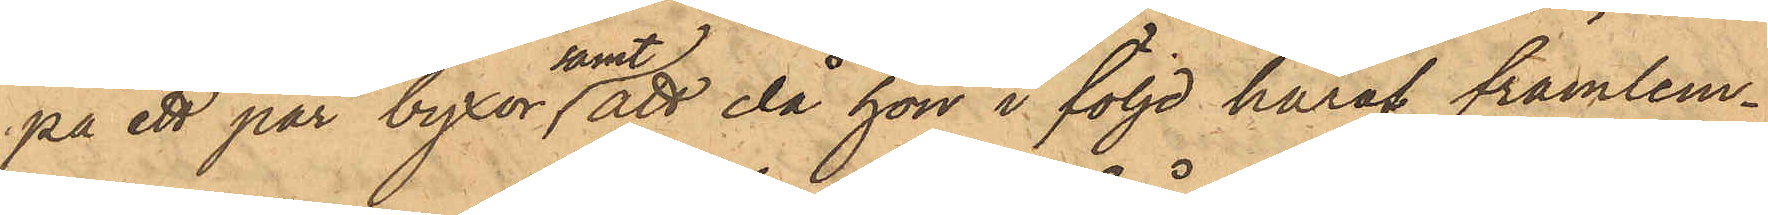på ett par byxor samt att då hon i följd häraf framlem¬
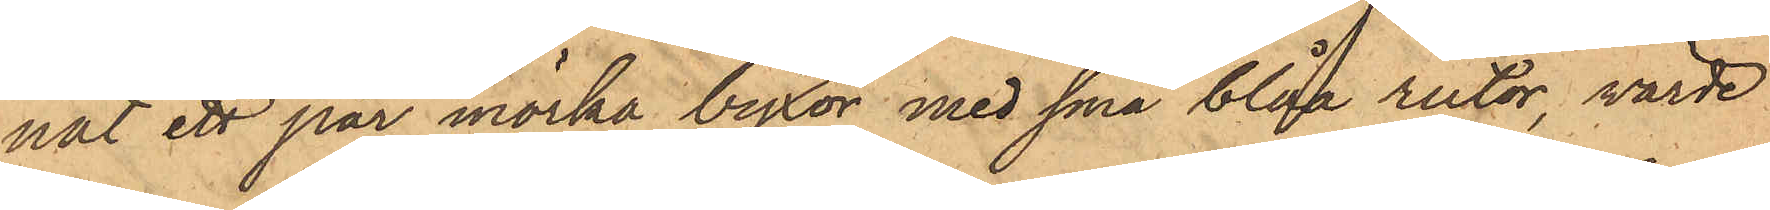nat ett par mörka byxor med små blåa rutor, värde
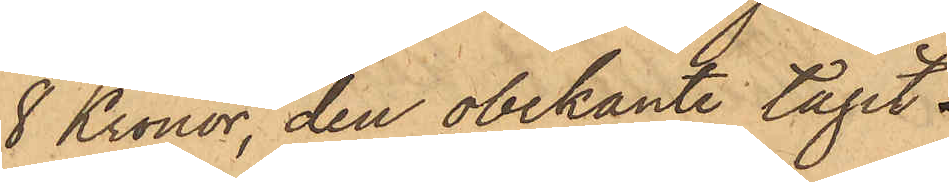8 Kronor, den obekante tagit
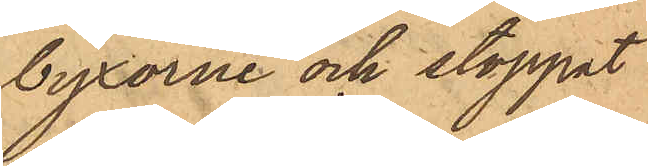byxorne och stoppat
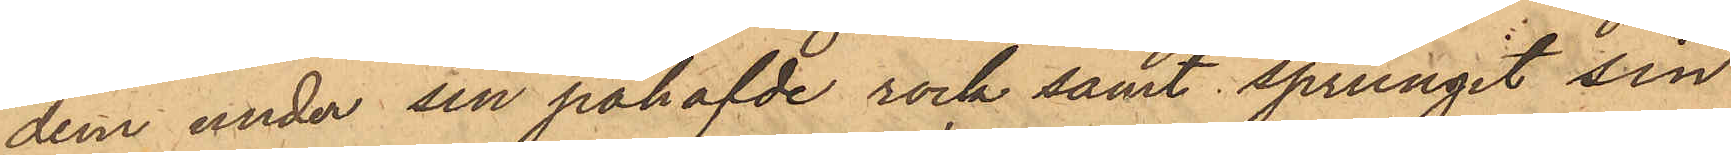dem under sin påhafde rock samt sprungit sin
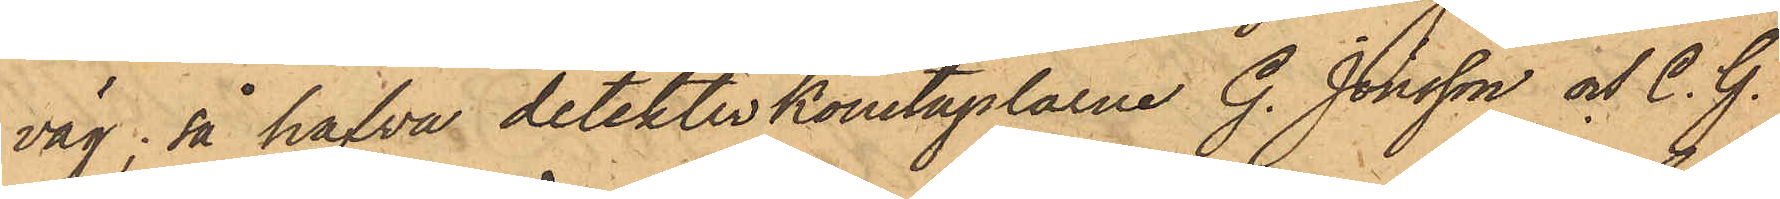väg; så hafva detektivkonstaplarne G. Jönsson och C. G.
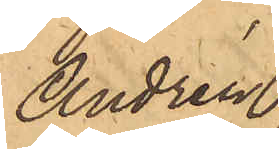Andrén
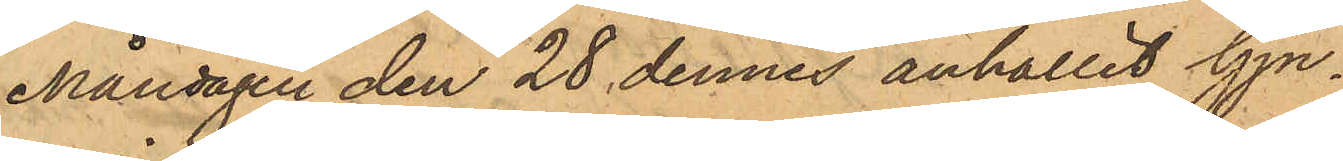Måndagen den 28 dennes anhållit Gju¬
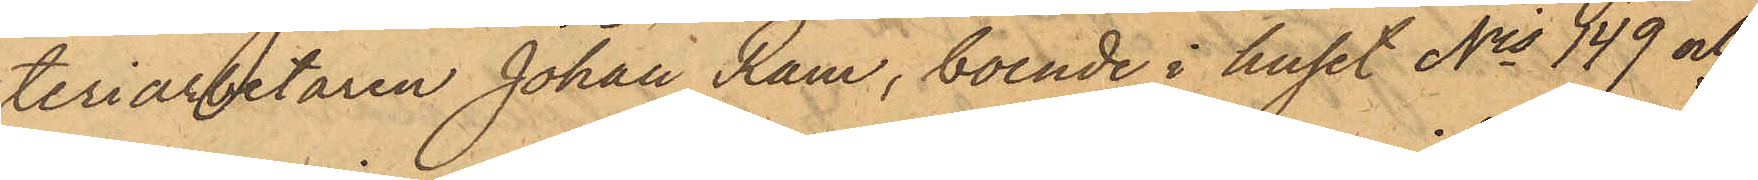teriarbetaren Johan Ram, boende i huset Nris 149 och
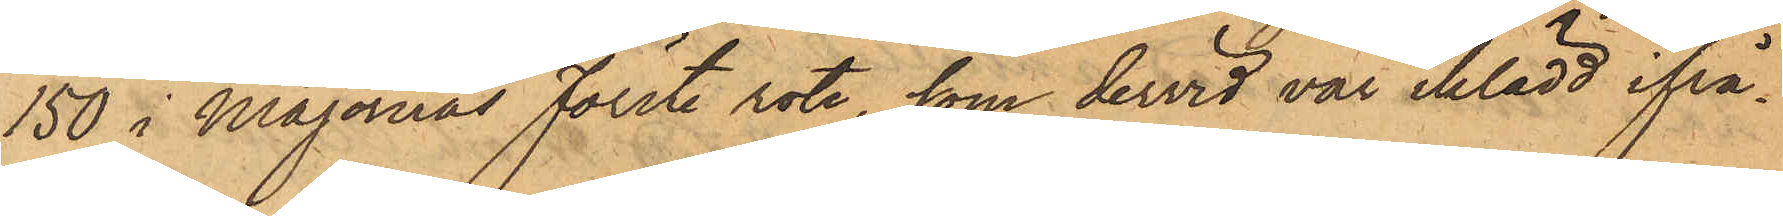150 i Majornas Förste rote, som dervid var iklädd ifrå¬
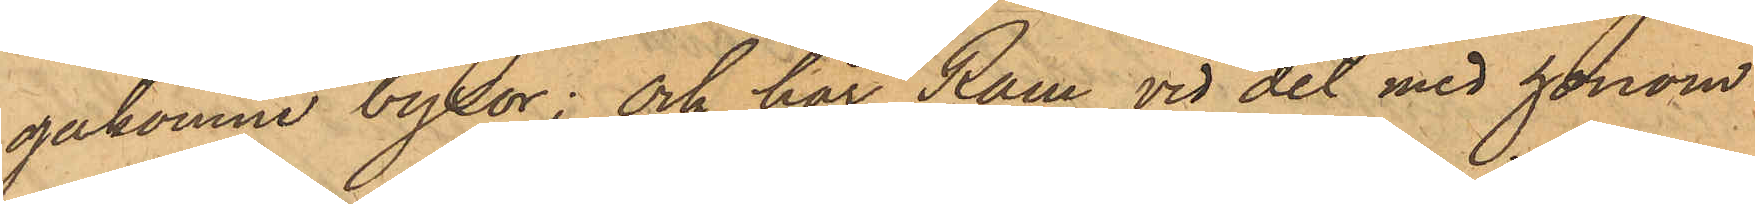gakomne byxor; och har Ram vid det med honom
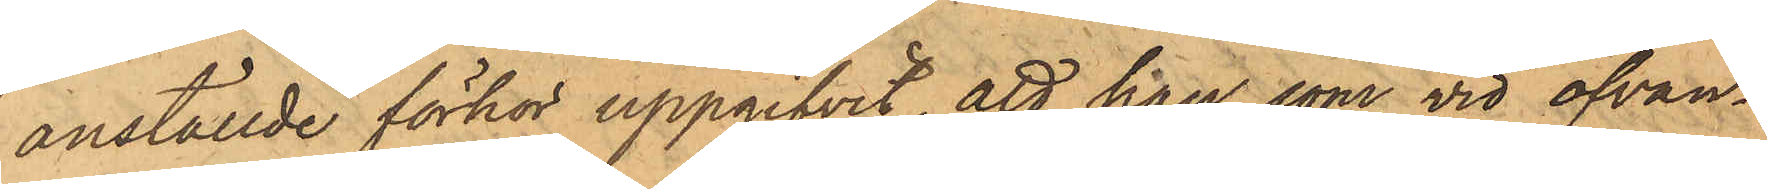anställde förhör uppgifvit, att han som vid ofvan¬
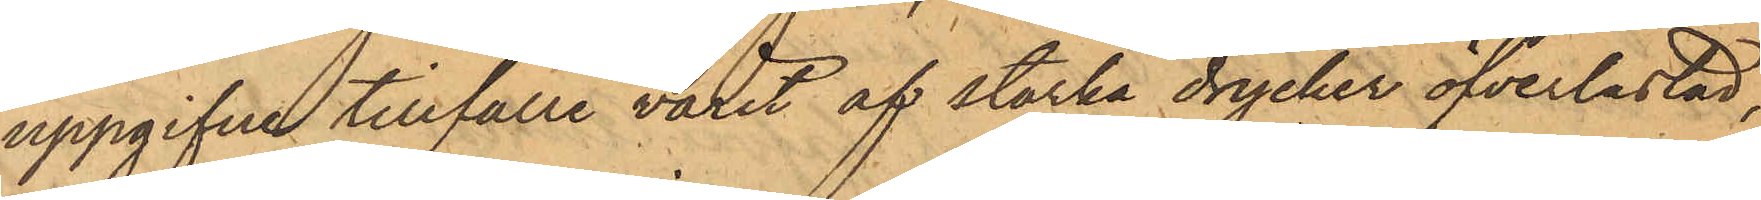uppgifne tillfälle varit af starka drycker öfverlastad,
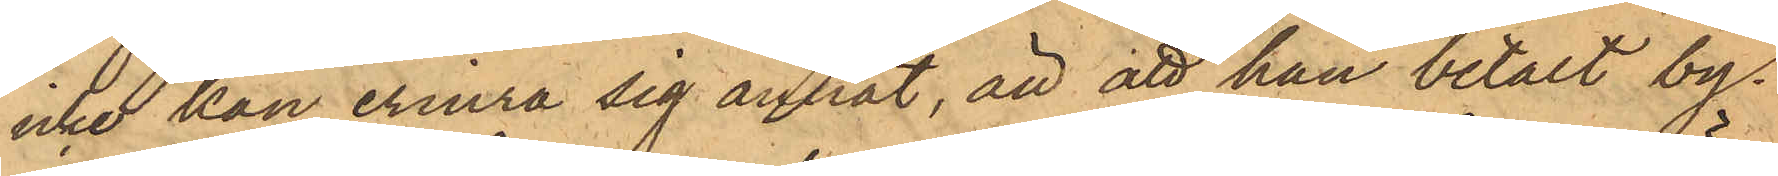icke kan erinra sig annat, än att han betalt by¬
